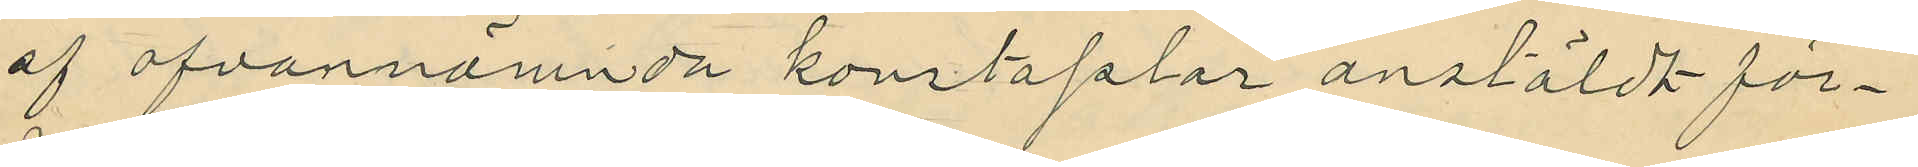af ofvannämnda konstaplar anstäldt för¬
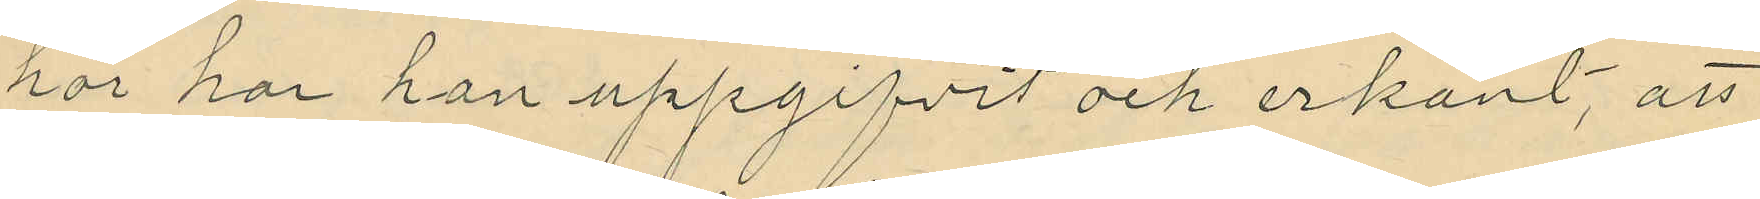hör har han uppgifvit och erkänt, att
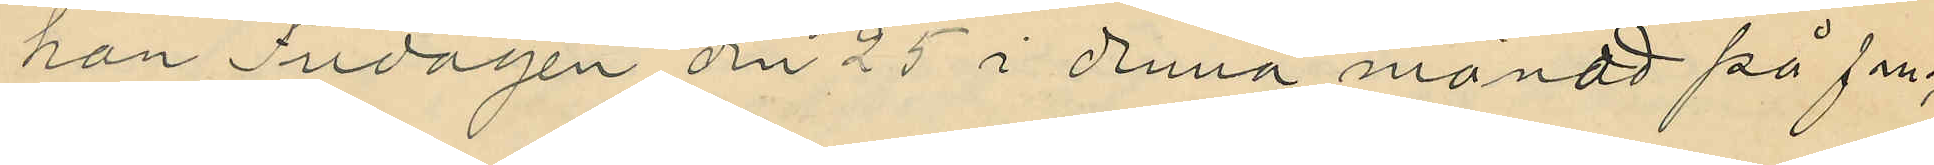han Tisdagen den 25 i denna månad på fm.
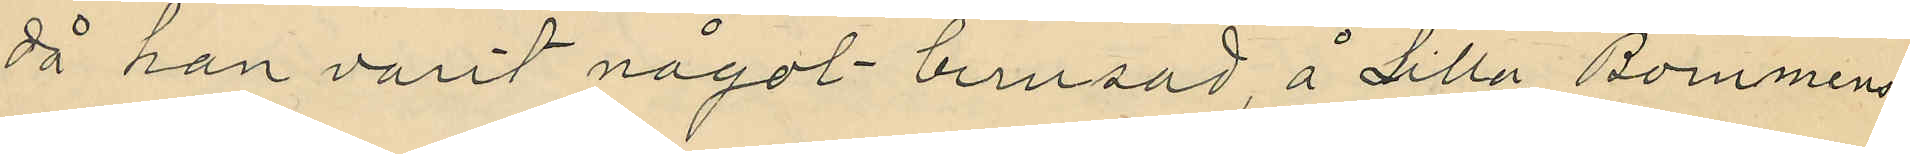då han varit något berusad, å Lilla Bommens
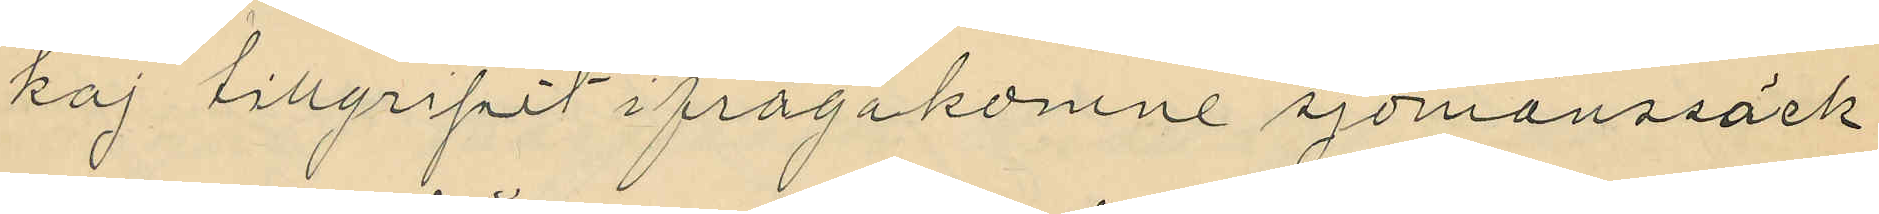kaj tillgripit ifrågakomne sjömanssäck
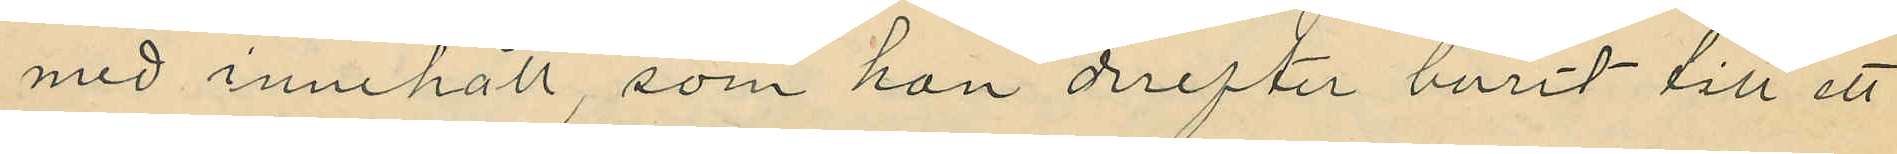med innehåll, som han derefter burit till ett
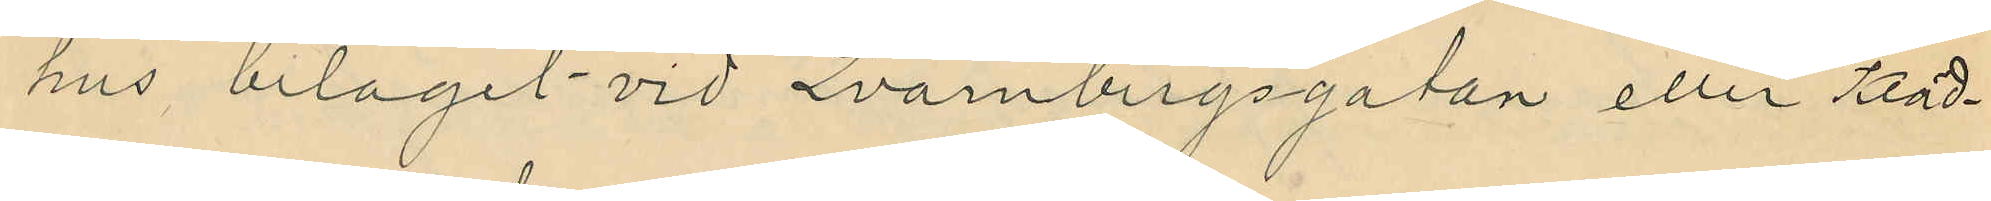hus beläget vid Qvarnbergsgatan eller Kläd¬
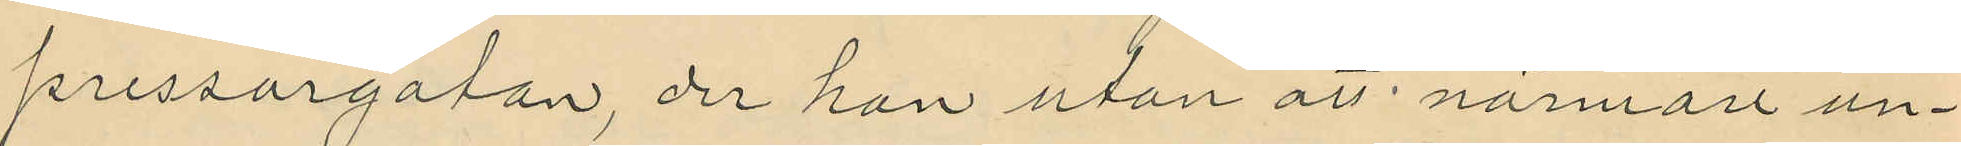pressaregatan, der han utan att närmare an¬
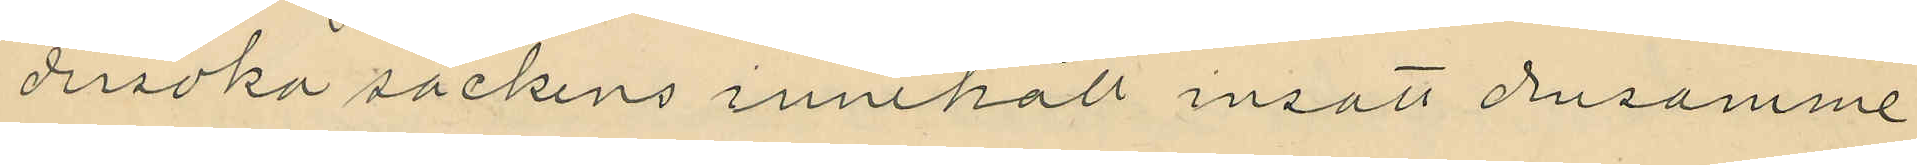dersöka säckens innehåll insatt densamme
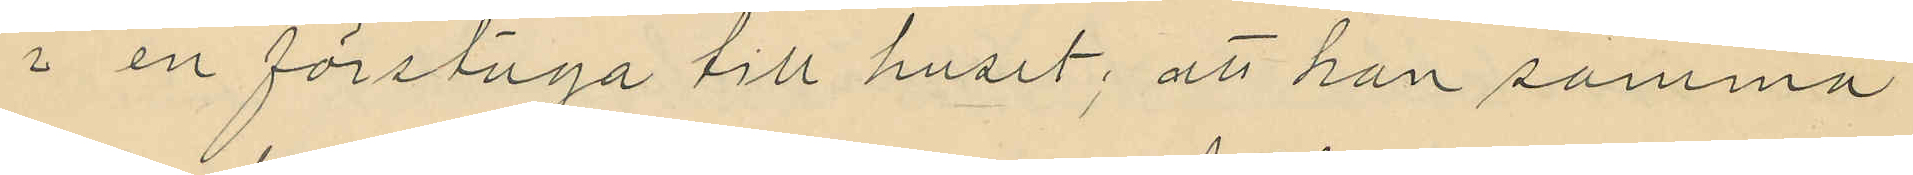i en förstuga till huset, att han samma
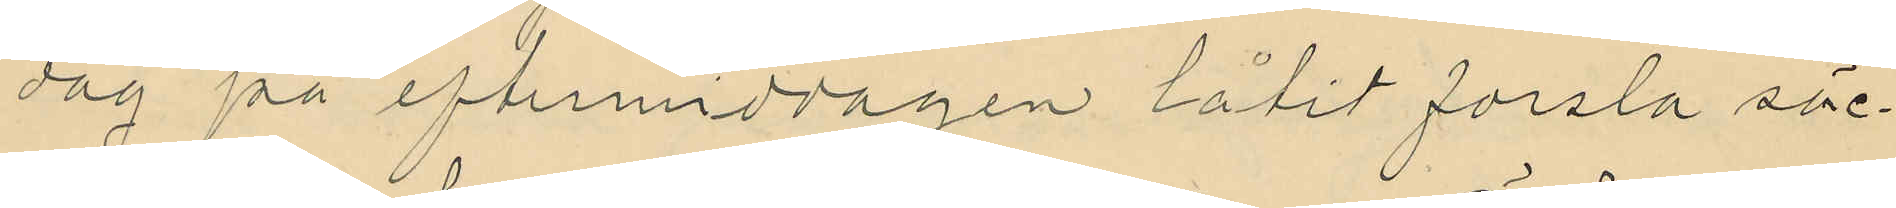dag på eftermiddagen låtit forsla säc¬
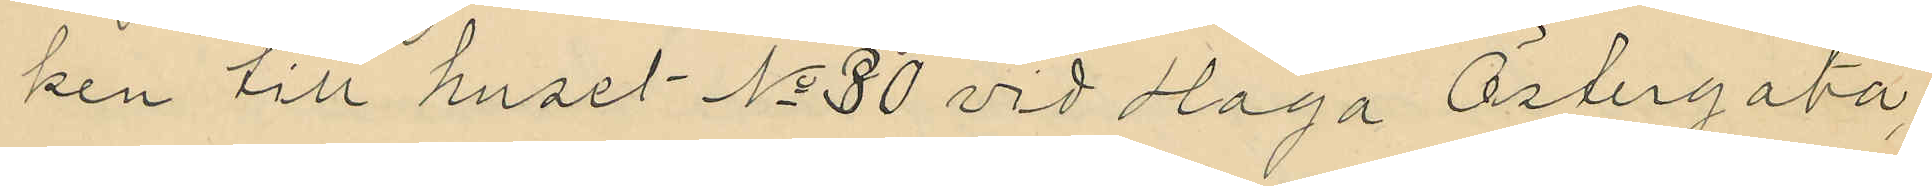ken till huset No 30 vid Haga Östergata,
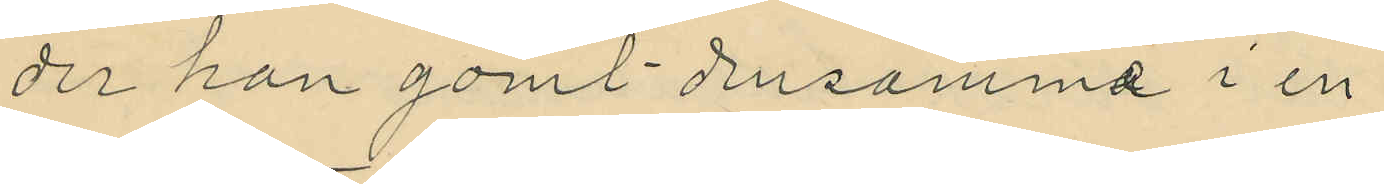der han gömt densamma i en
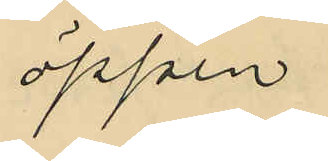öppen
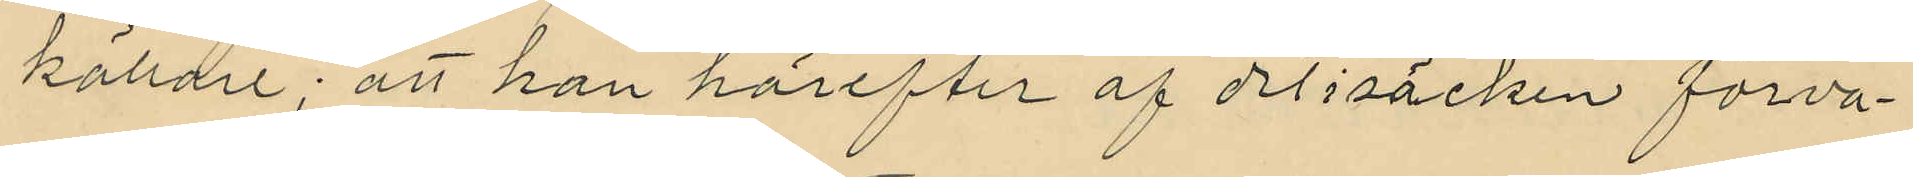källare; att han härefter af det i säcken förva¬
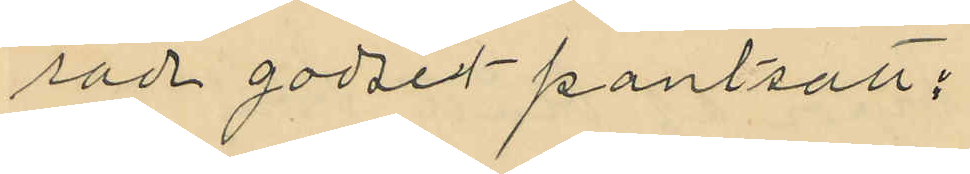rade godset pantsatt:
